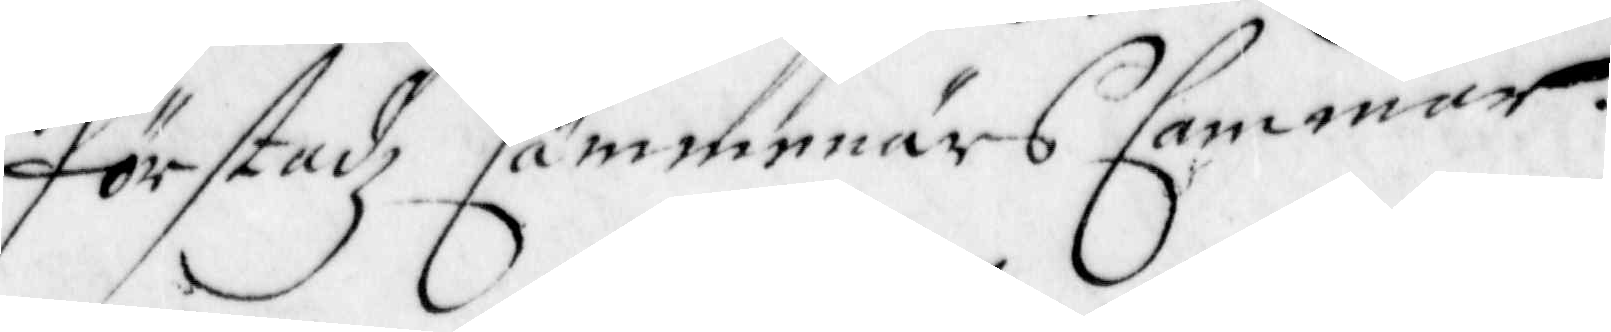Förstadz Cämmnärs Cammar.
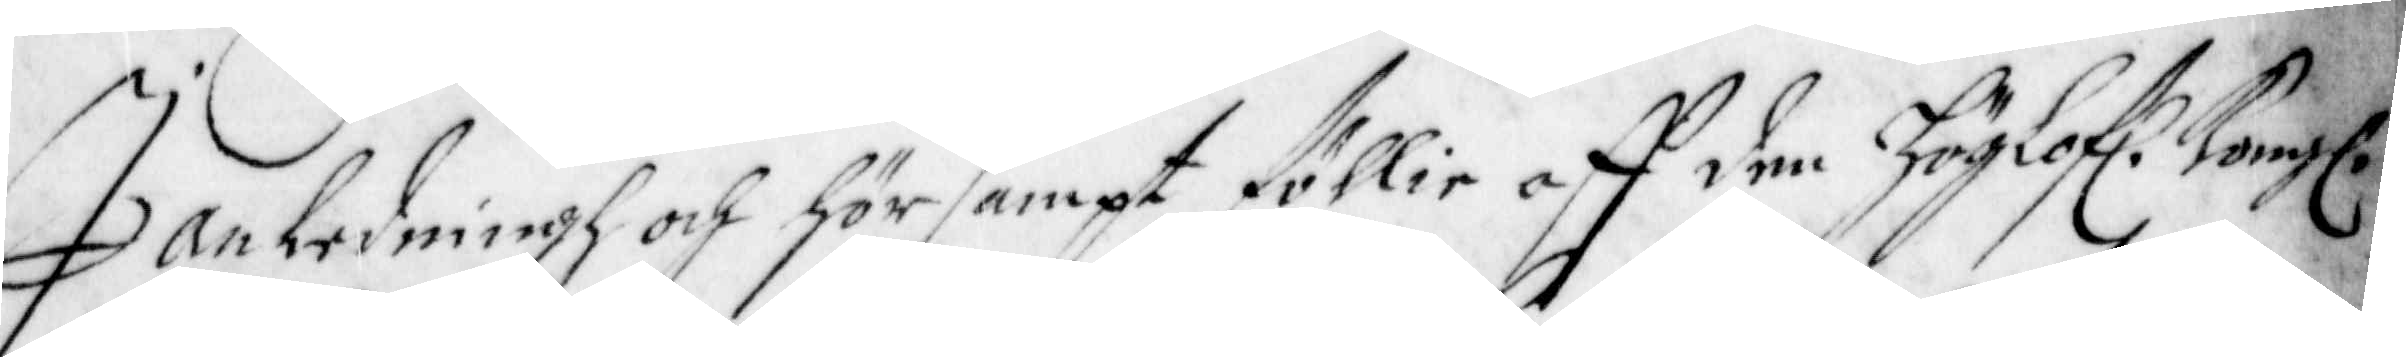I anledningh och hörsampt föllie aff den Höglof. Kong.
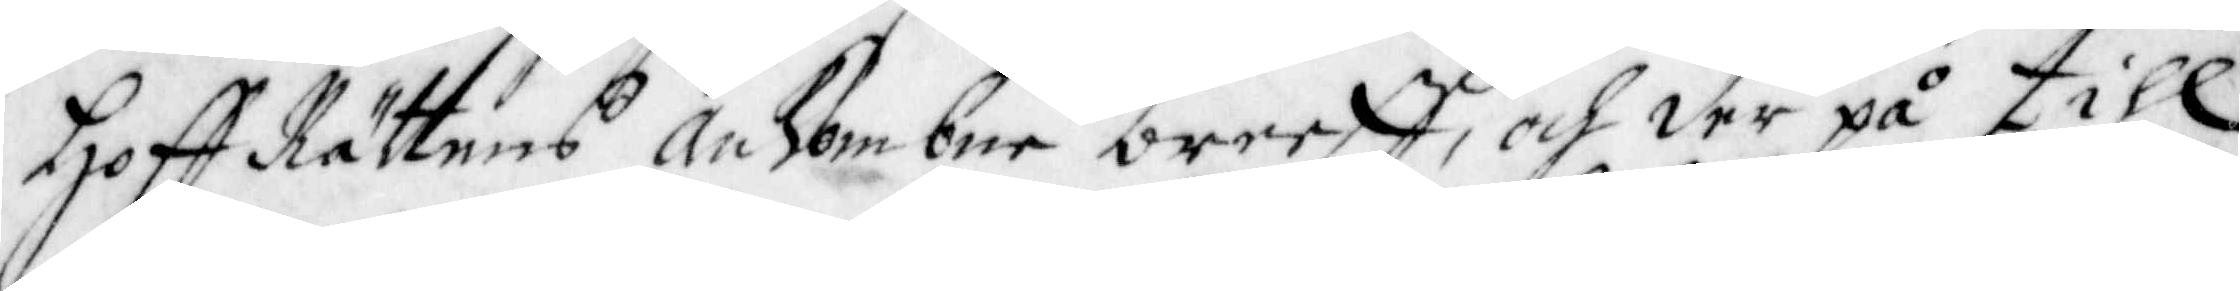Hoff Rättens ankombne breeff, och der på till
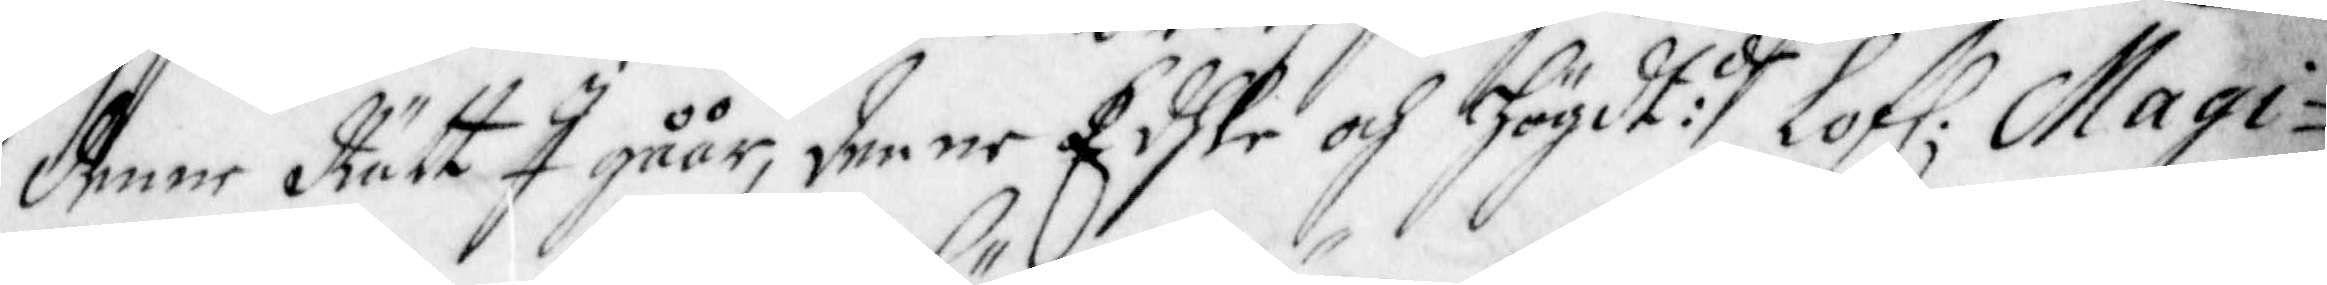denne Rätt I gåår, denne Edhle och Högdt:de Lof. Magi¬
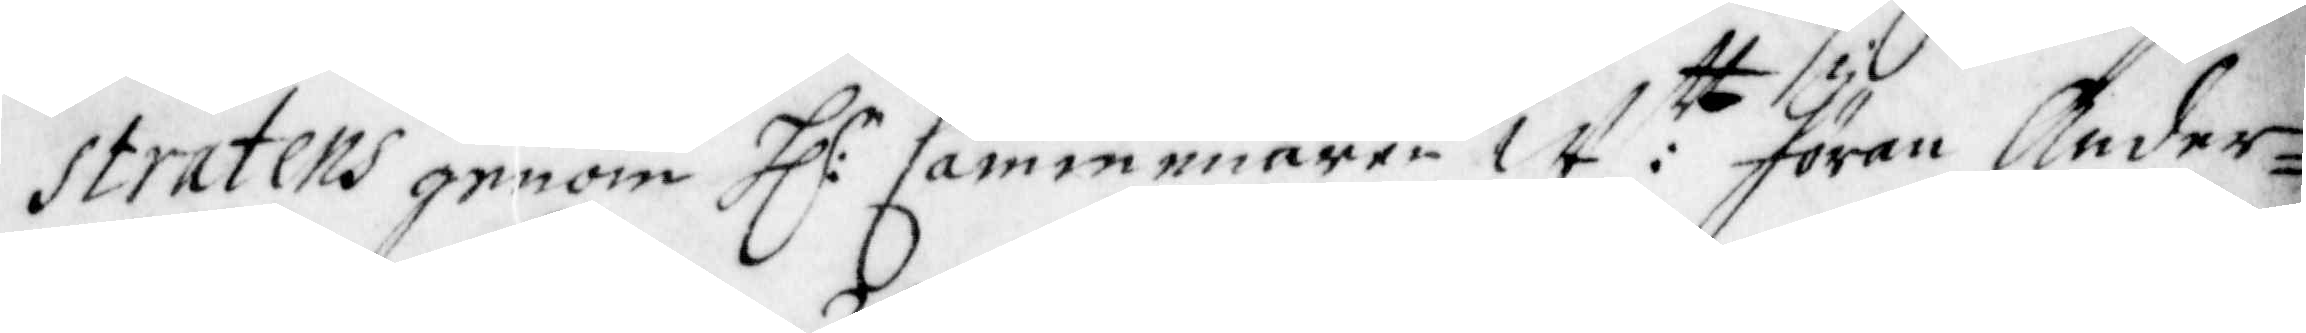stratens genom H:r Cämmenären W:tt Jöran Ander¬
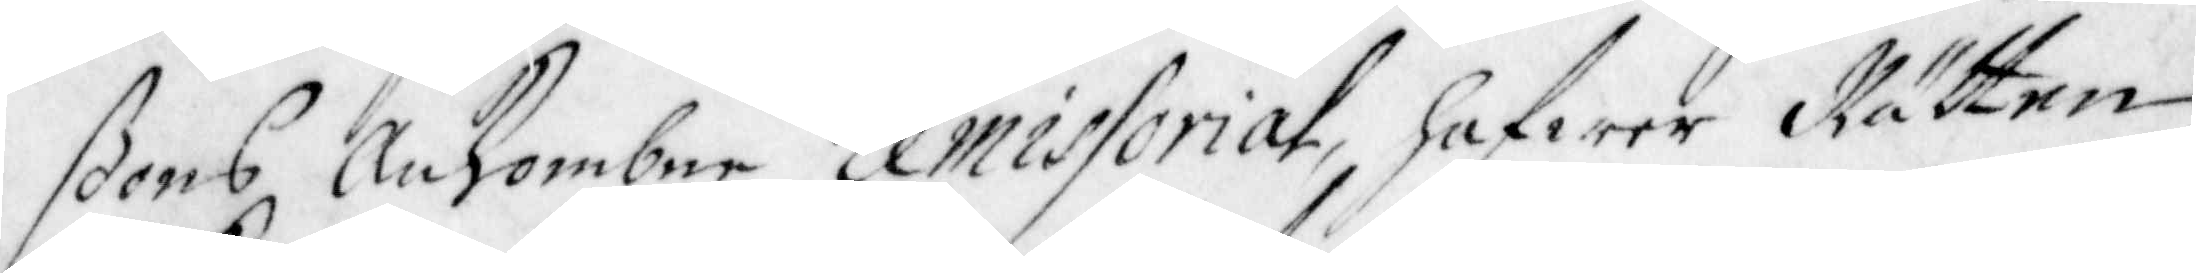ßons Ankombne remissorial, hafwer Rätten
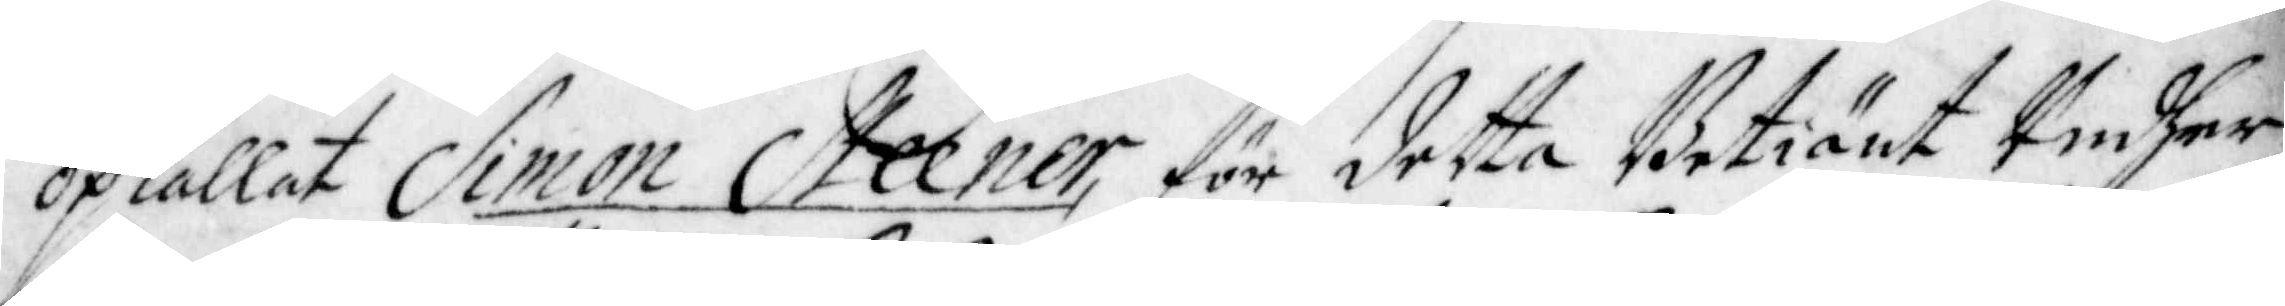opkallat Simon Steener, för detta Betiänt Undher
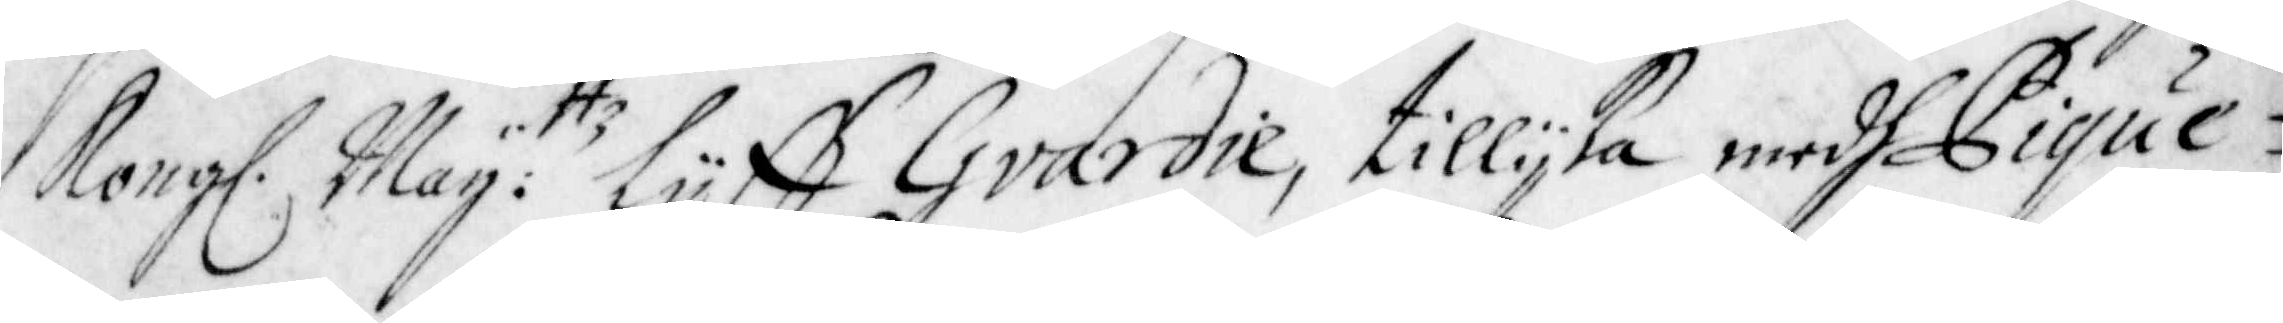Kong. Maij:ttz Lijff Gvardie, tillijka medh Pique¬
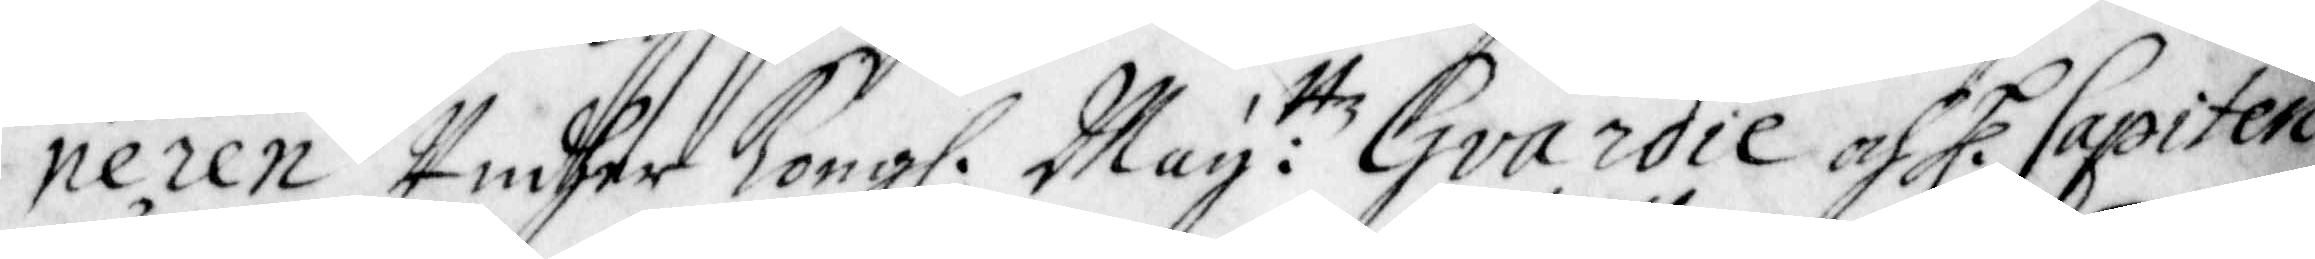neren Undher Kong. Maij:ttz Gvardie och H. Capiten
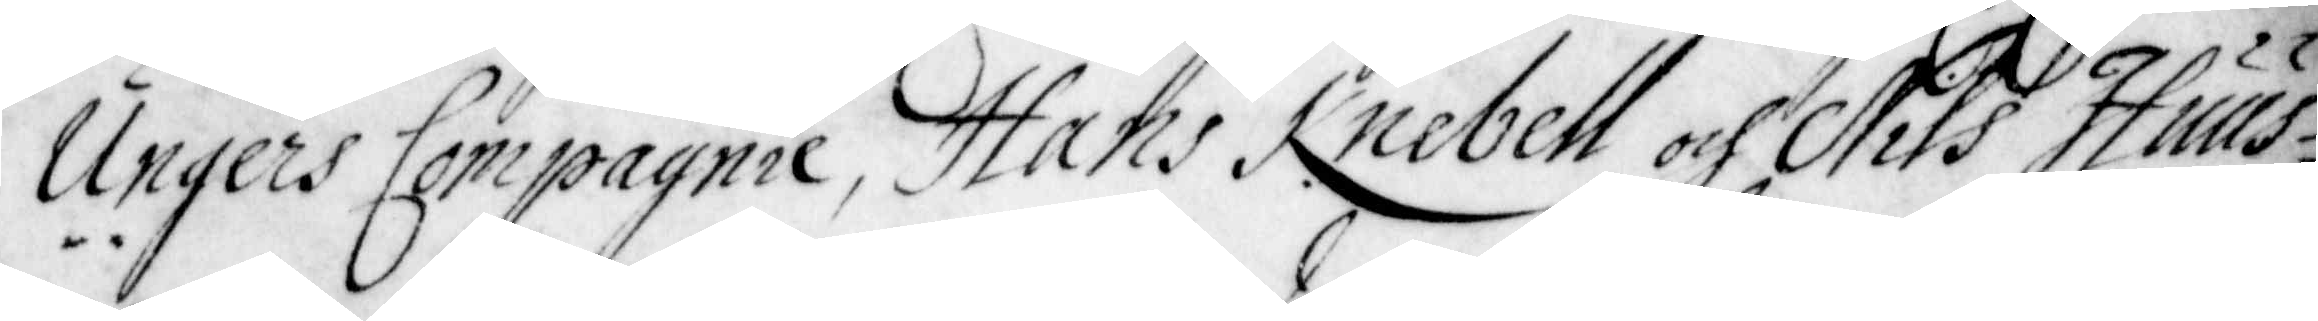Ungers Compagnie, Hans Knebell och Nils Huus¬
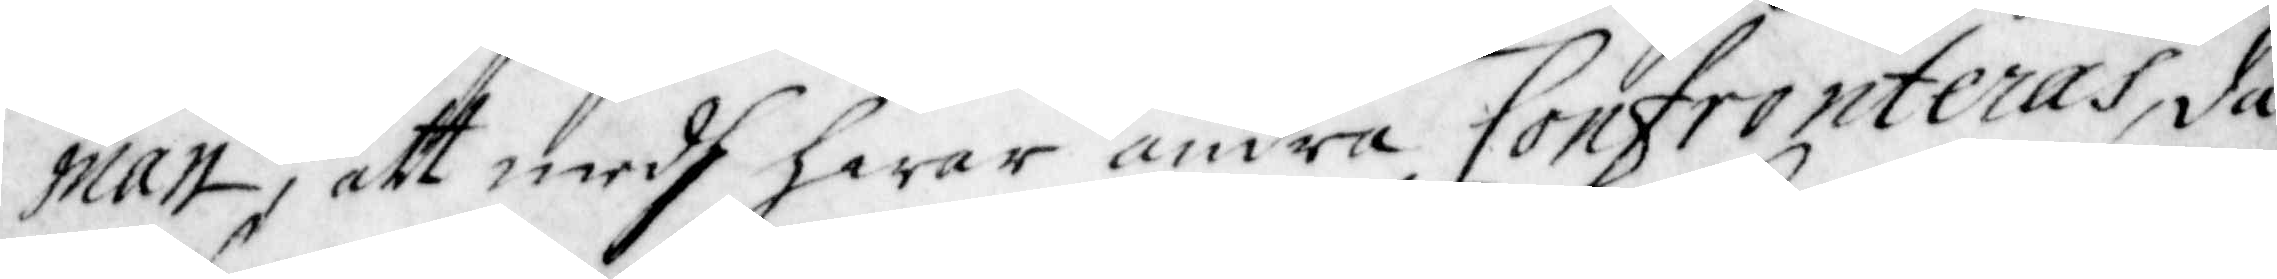man, att medh hwar andra Confronteras, då
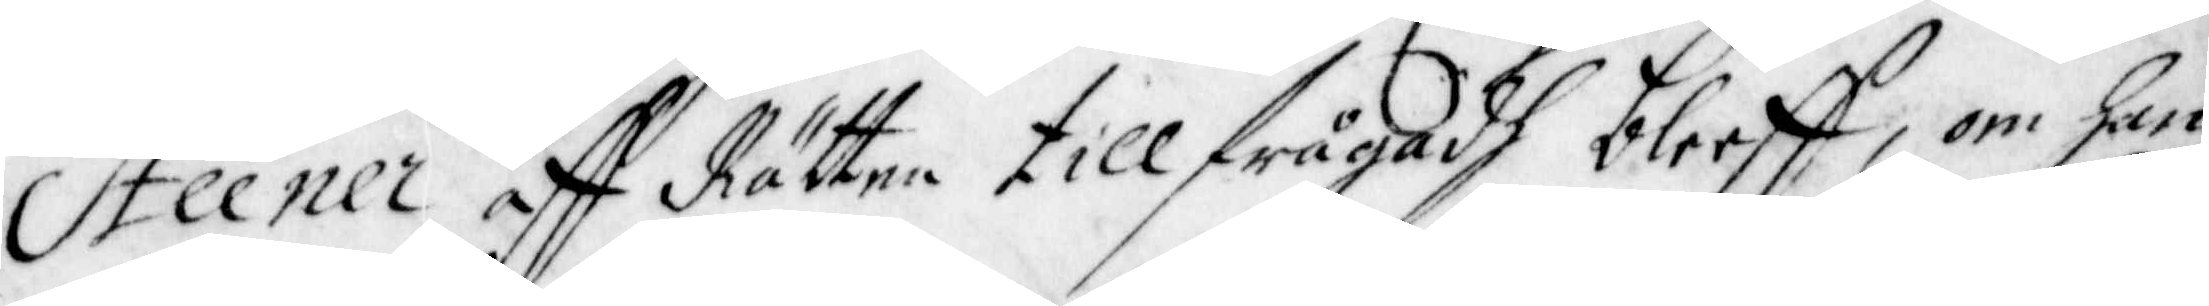Steener aff Rätten tillfrågadh bleeff, om han
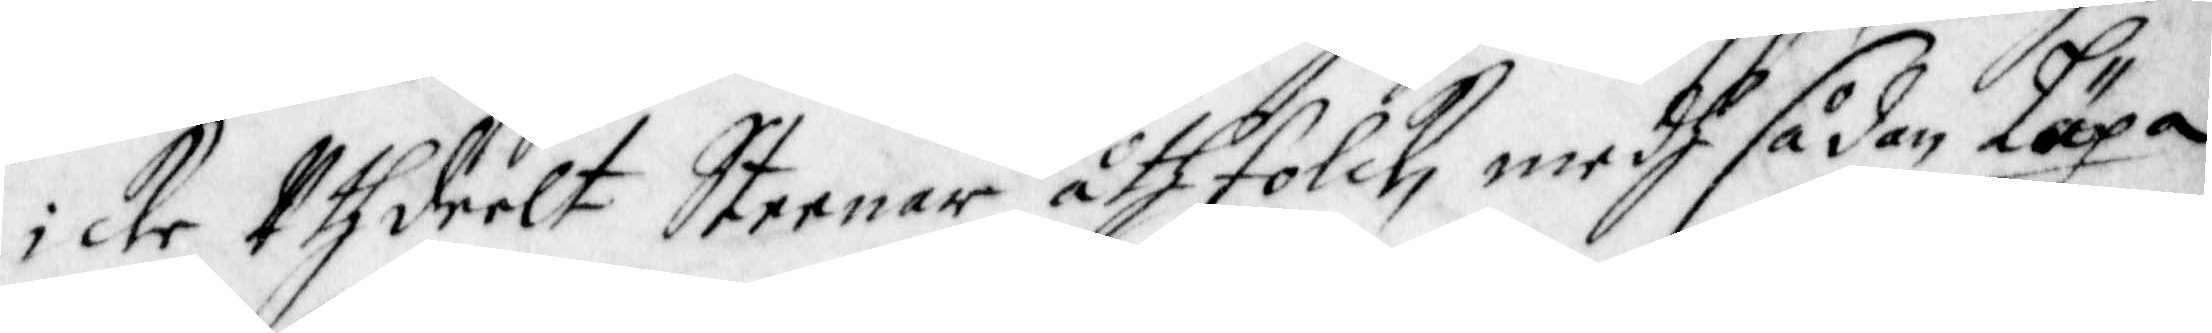icke Uthdeelt Steenar åth Folck, medh sådan Läxa
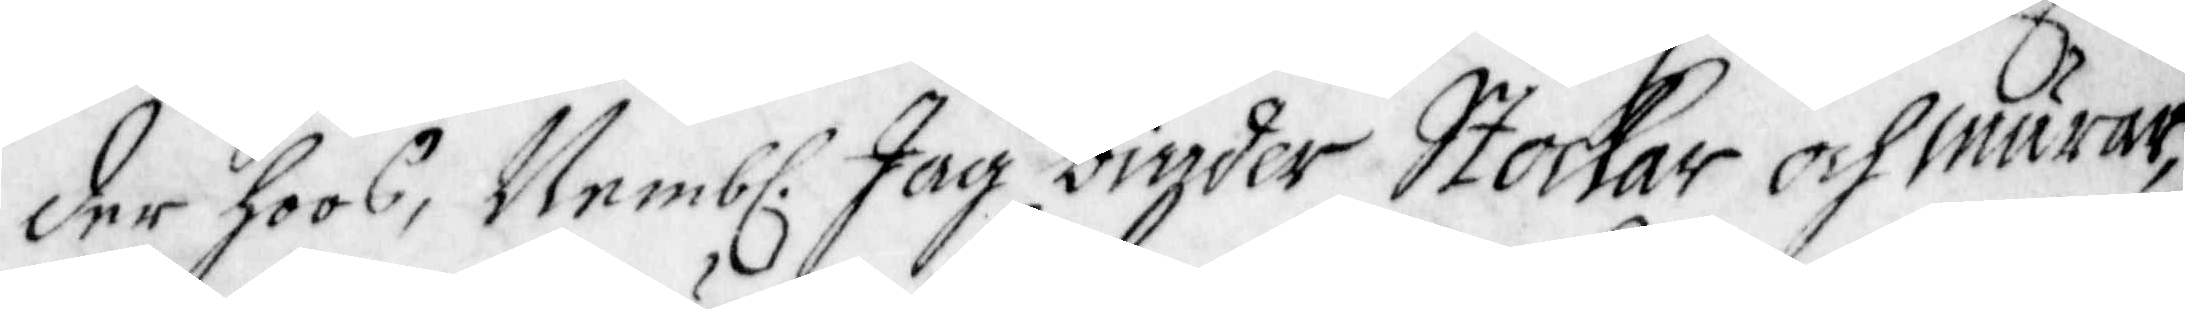der hoos, Nemb. Jag binder Stockar och Murar,
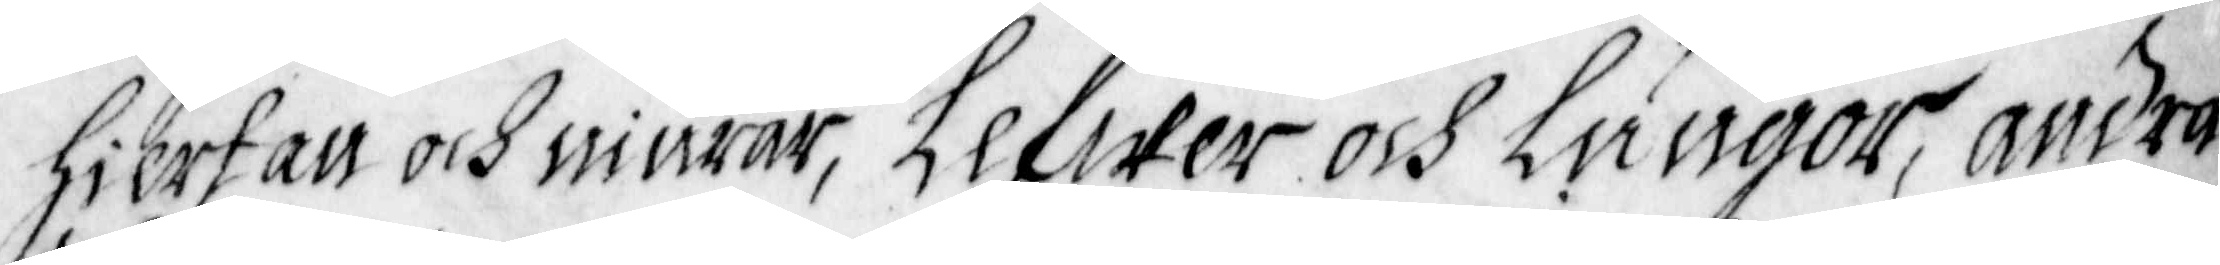Hiertan och niurar, Lefwer och Lungor, andra
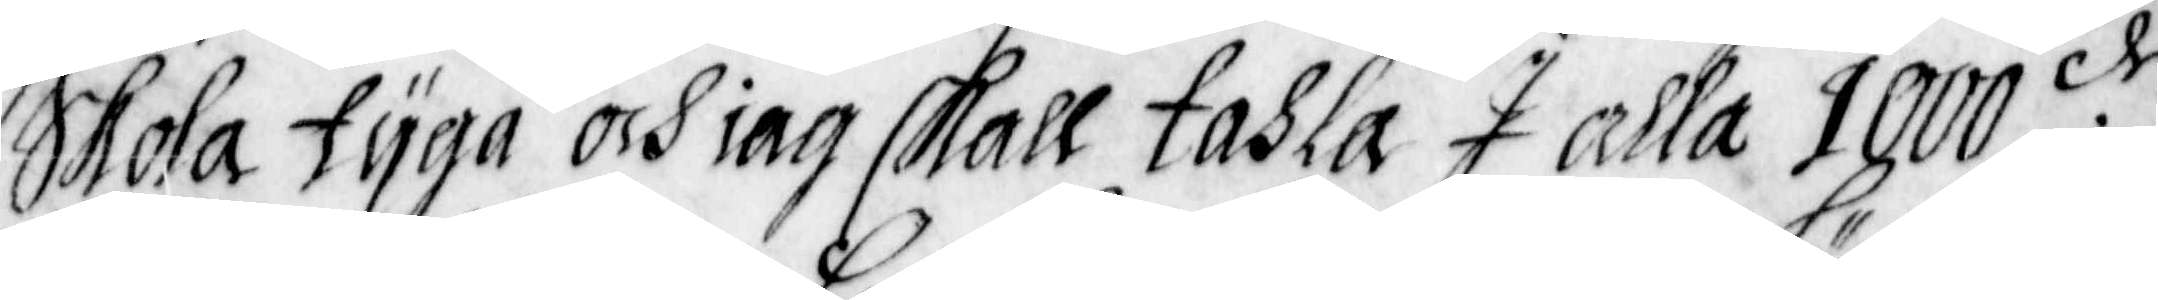Skola tijga och iag skall tahla I alla 1000:de
